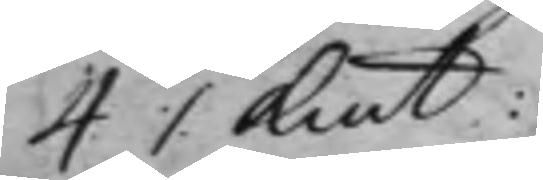4 ./. Kmt:
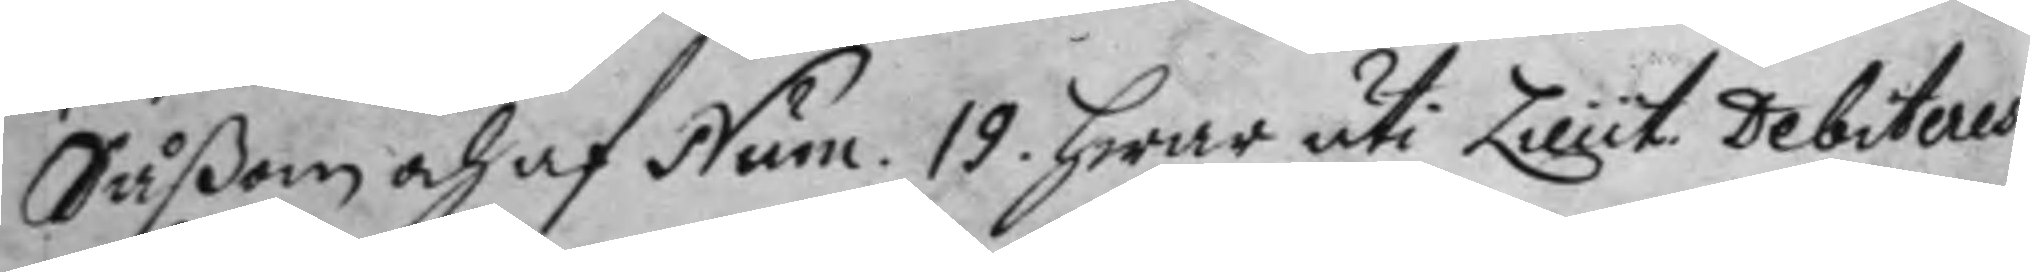Såßom och af Num: 19. hwar uti Lieut. Debiteras
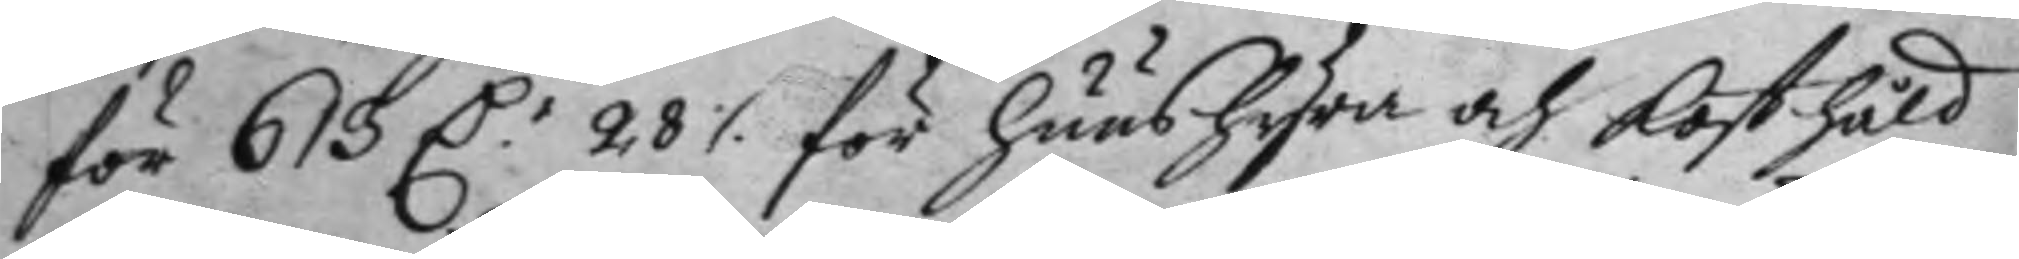för 613 D.r 28 ./. för huushyra och kosthåld
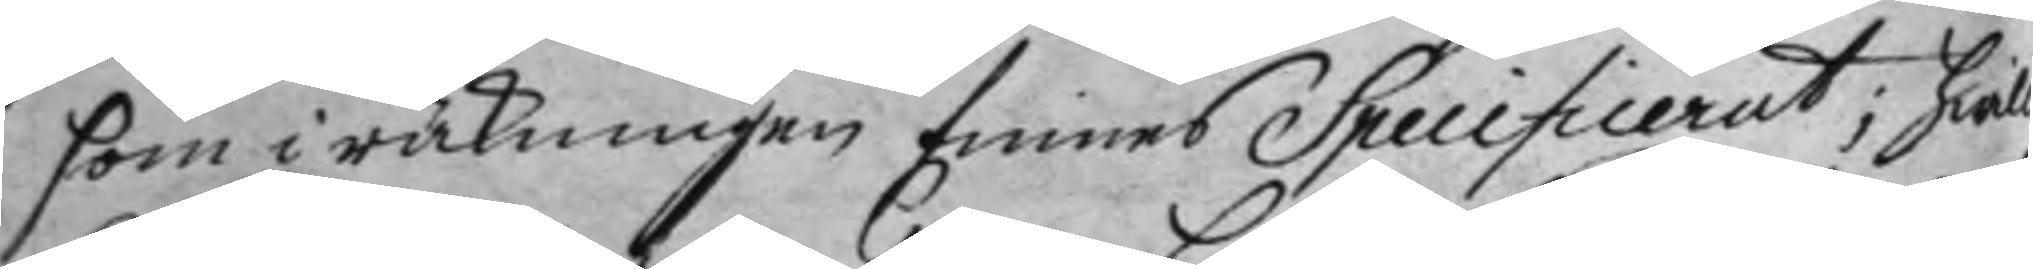som i räkningen finnes Specificerat; hwil¬
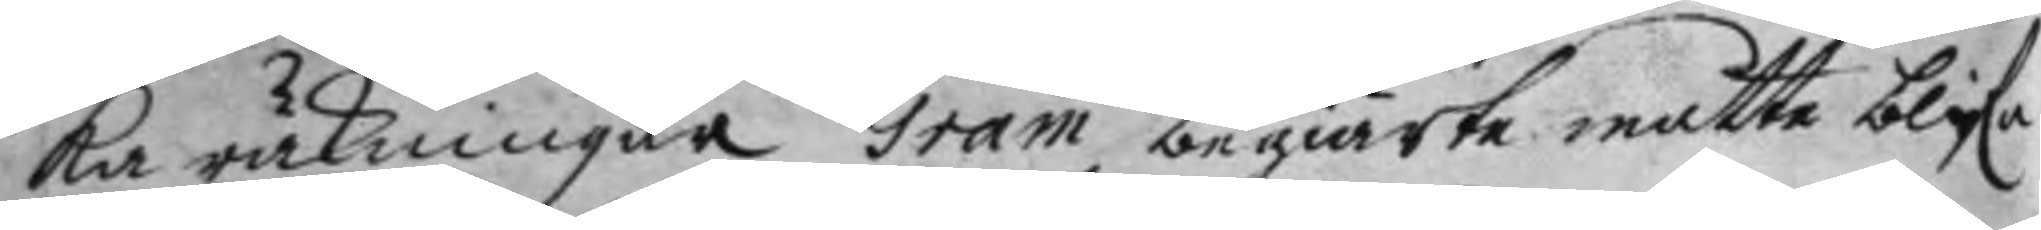ka räkningar Gram begiärte måtte blifa
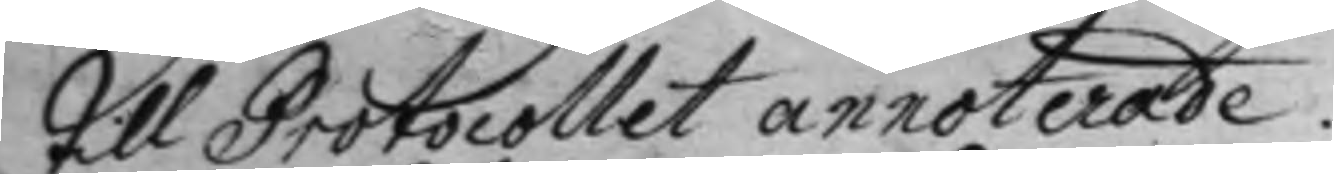till Protocollet annoterade.
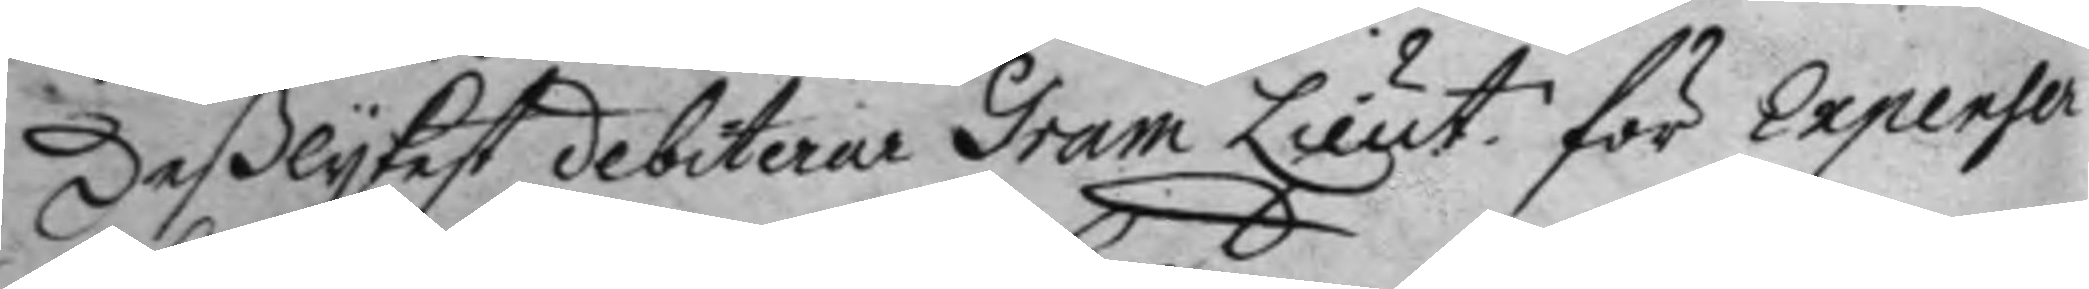Deßlykest debiterar Gram Lieut. för Expenser
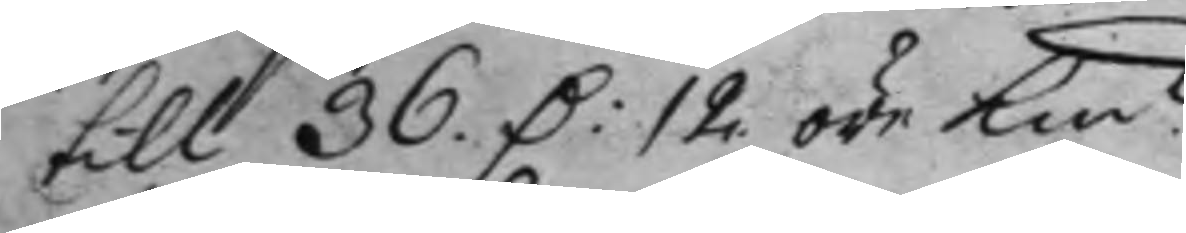till 36. D: 12 öre Kmt.
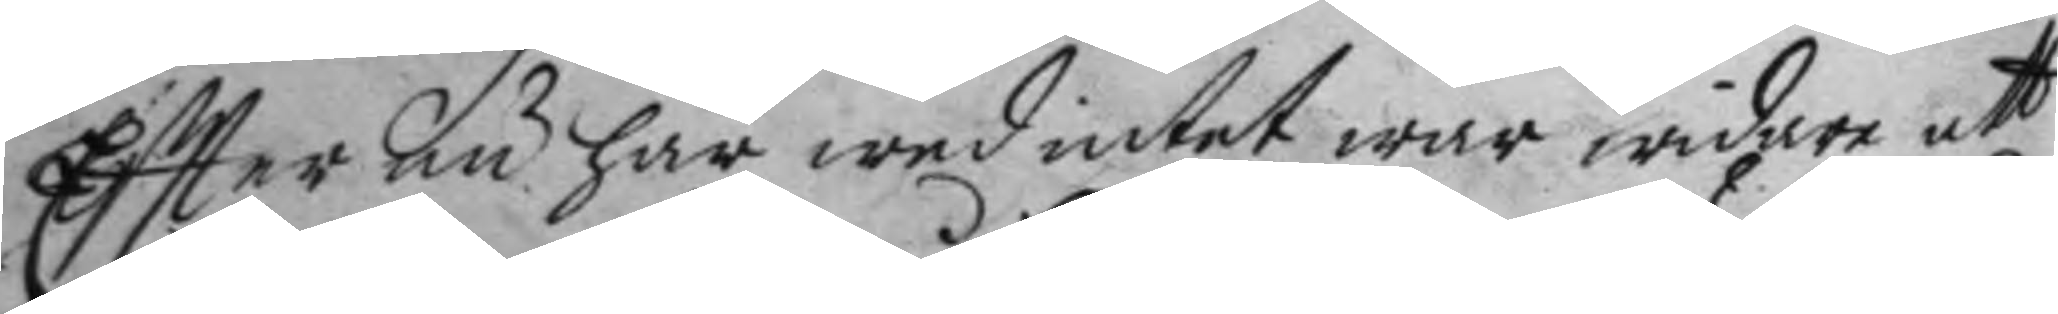Eftter nu här wed intet war widare att
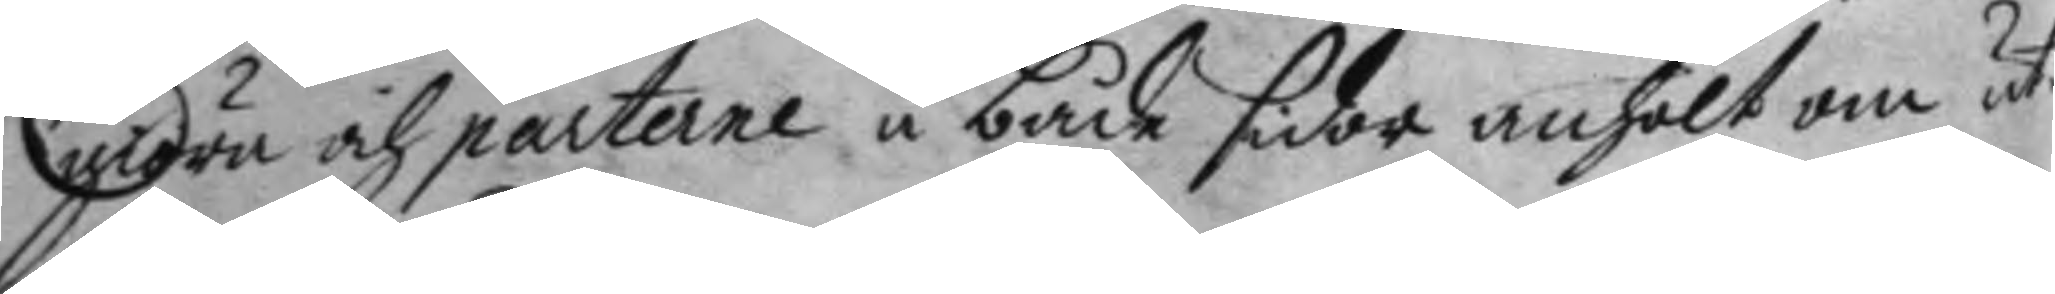giöra och parterne å både sidor anhölt om ut¬
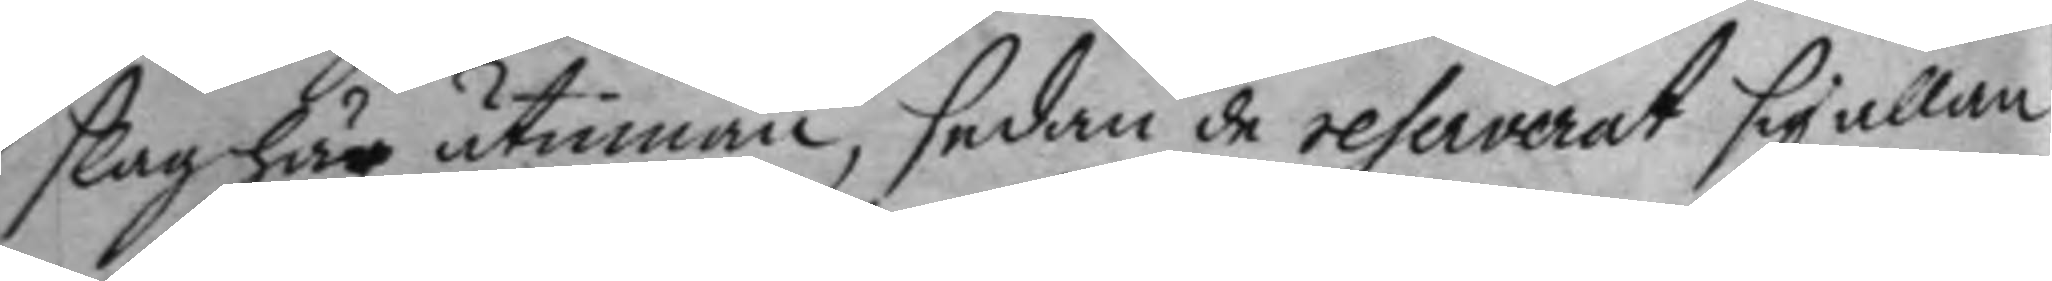slag här utinnan, sedan de reserverat sig allan
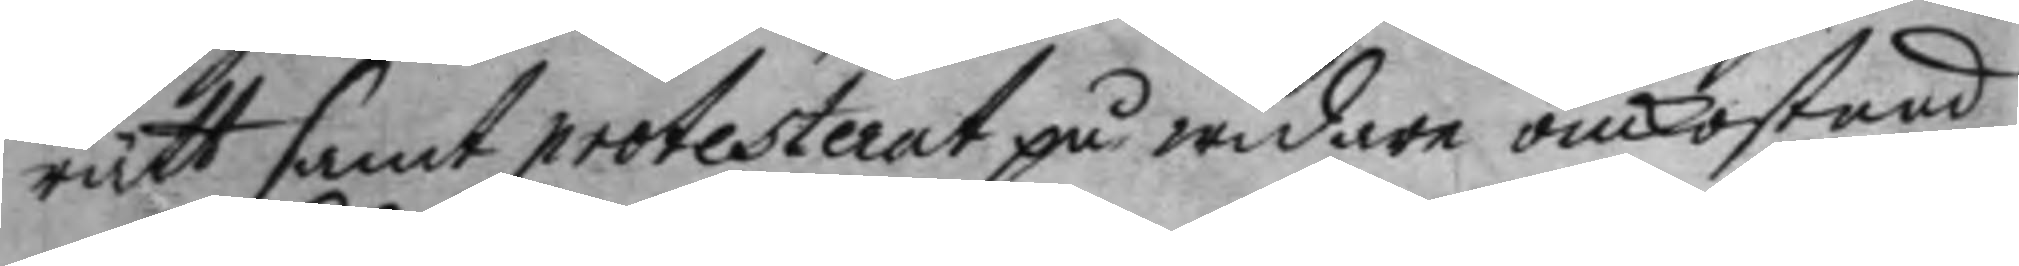rätt samt protesterat på widare omkostnad
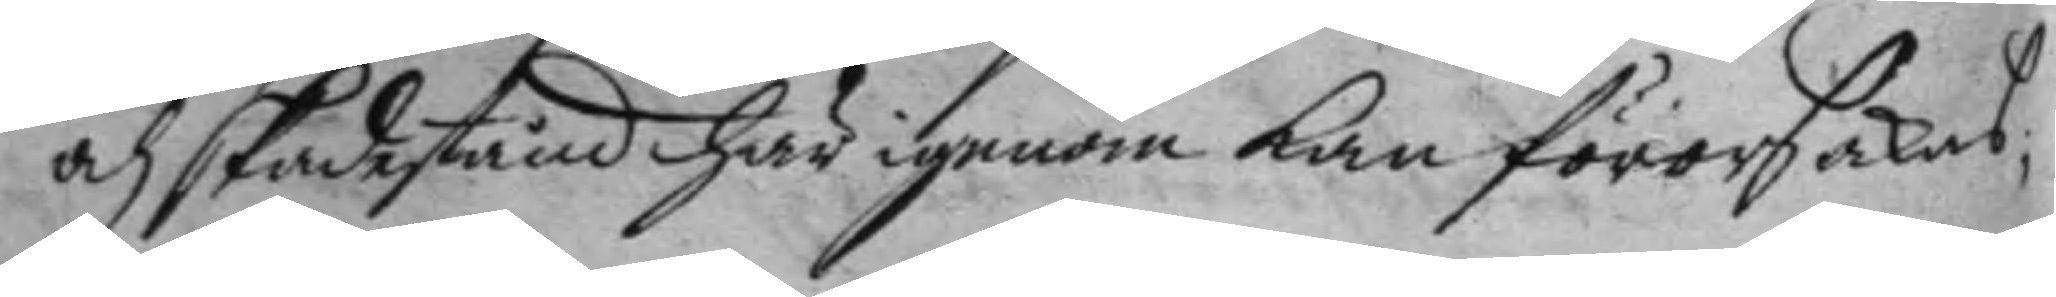och skadestånd här igenom kan förorsakas;
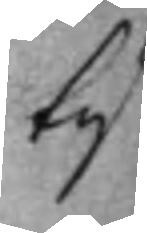ty
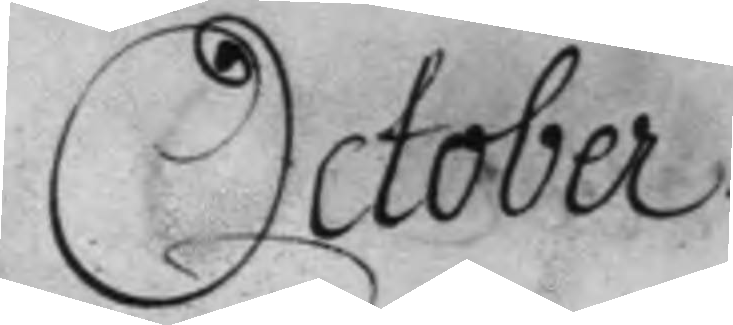October.
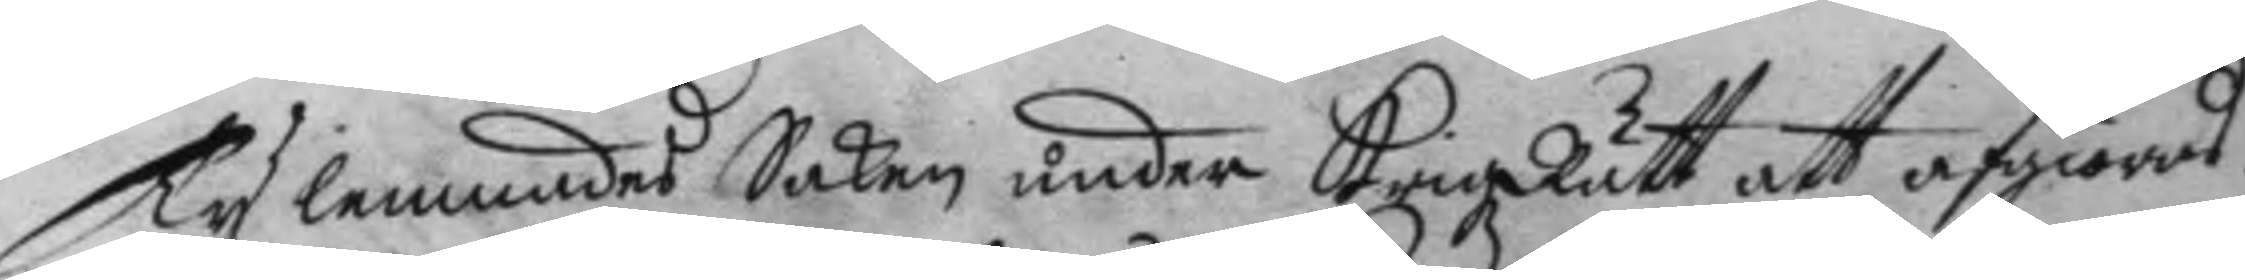Ty lemnades Saken under KrigzRätt att afgiöras.
